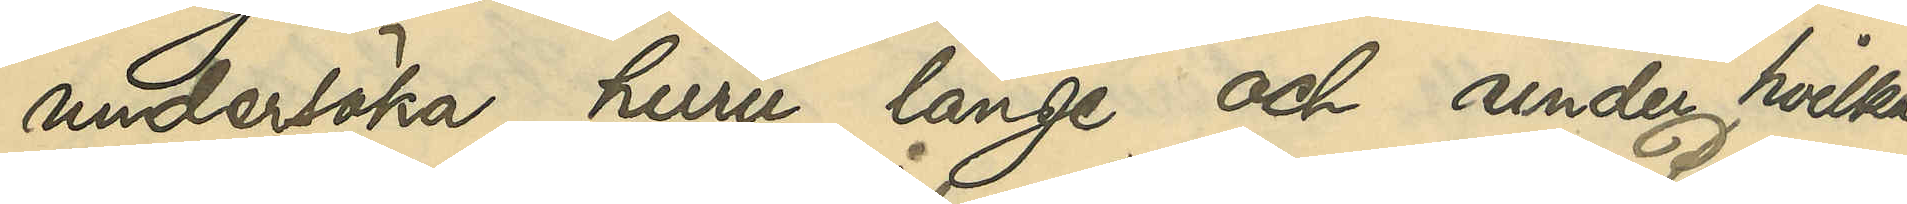undersöka, huru länge och under hvilka
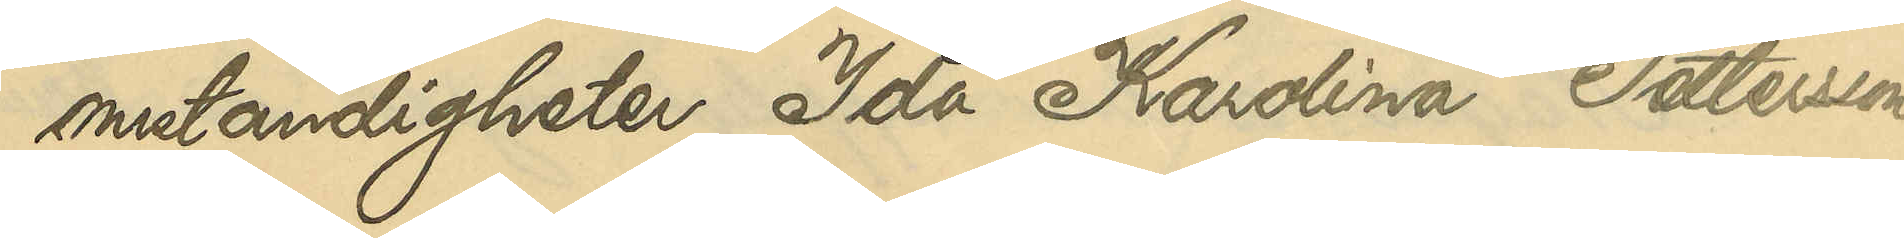omständigheter Ida Karolina Pettersson
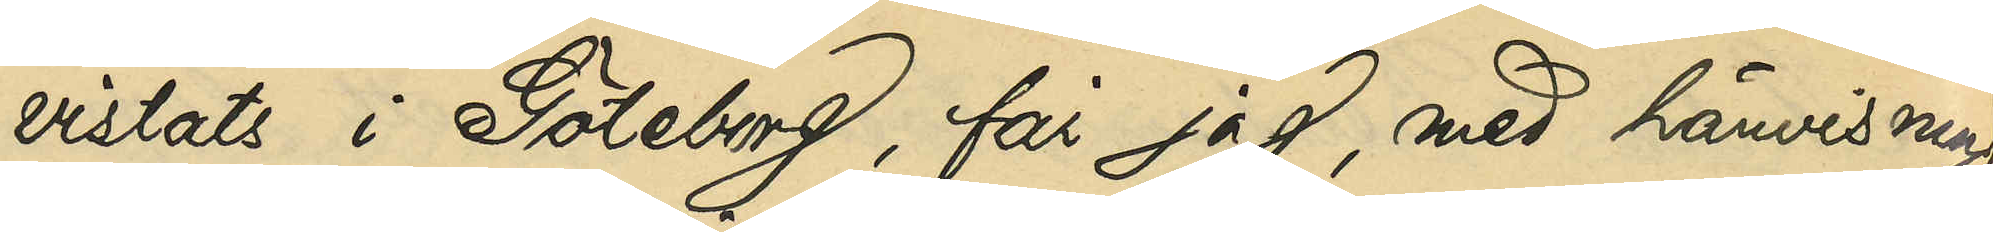vistats i Göteborg, får jag, med hänvisning
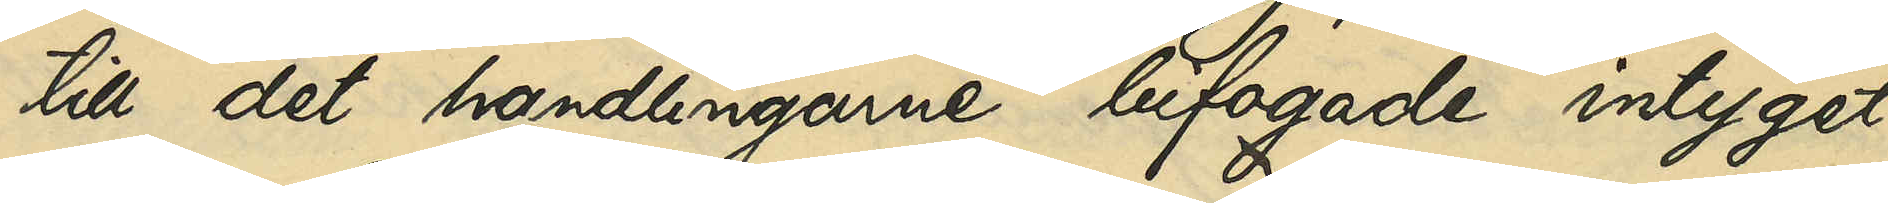till det handlingarne bifogade intyget
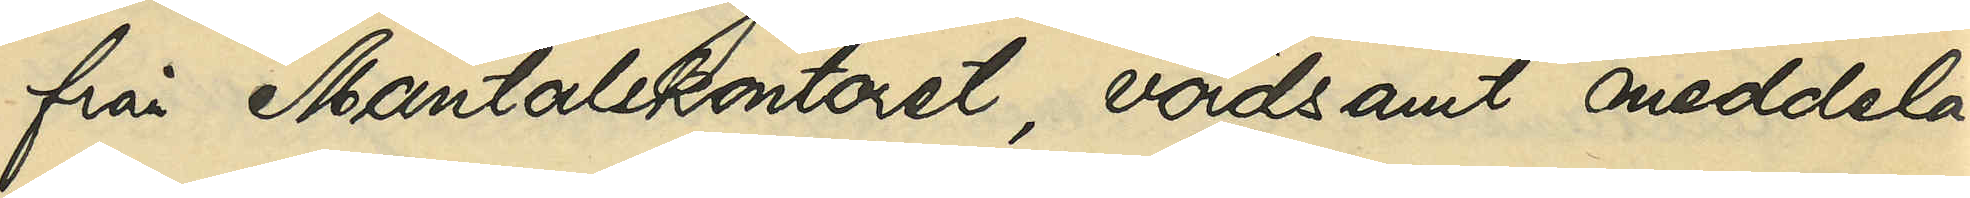från Mantalskontoret, vördsamt meddela,
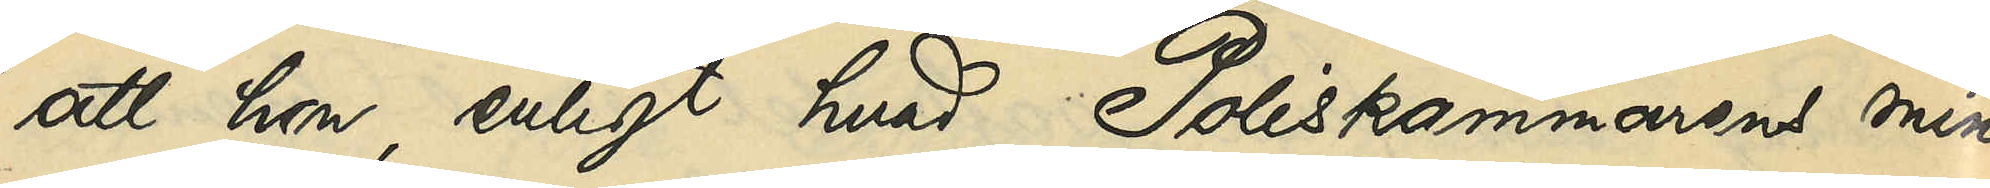att hon, enligt hvad Poliskammarens min¬
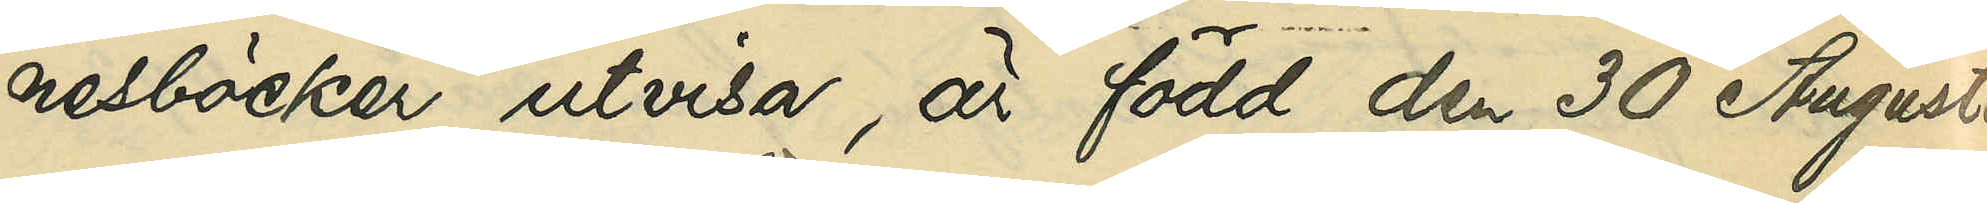nesböcker utvisa, är född den 30 Augusti
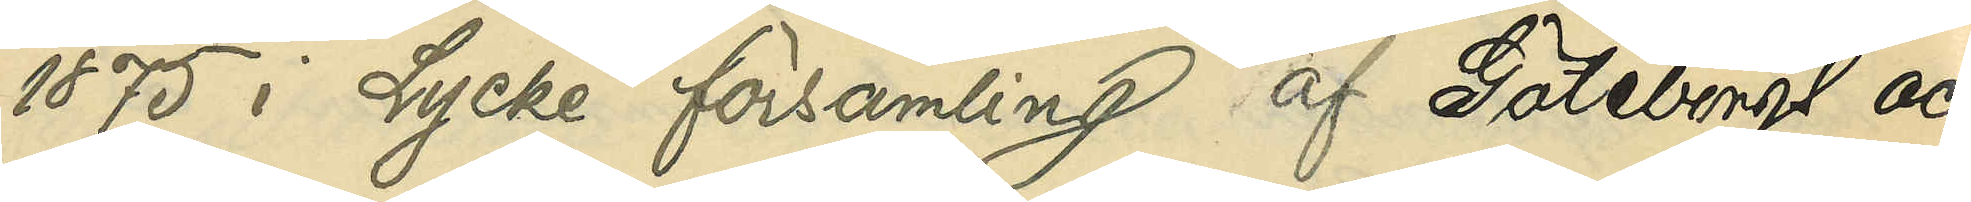1875 i Lycke församling af Göteborgs och
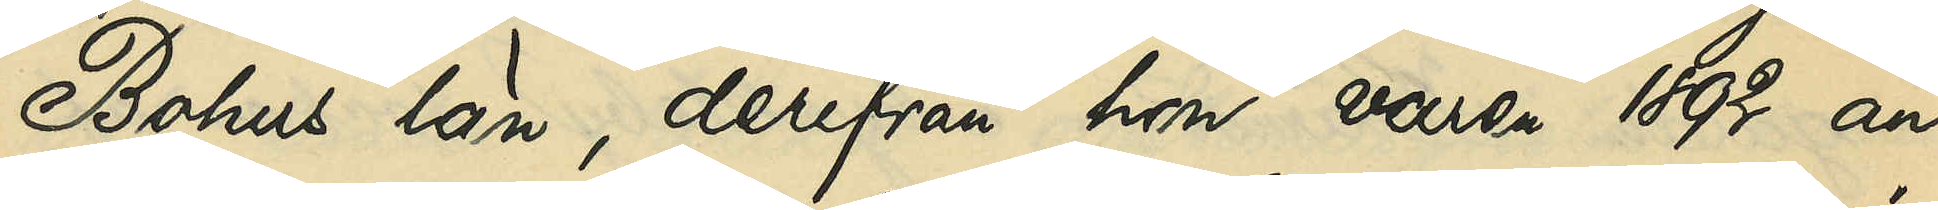Bohus län, derifrån hon våren 1892 an¬
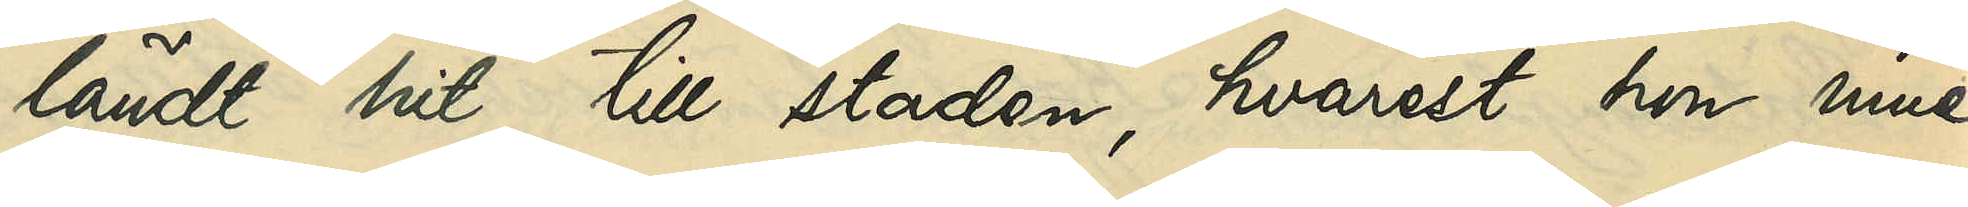ländt hit till staden, hvarest hon inne¬
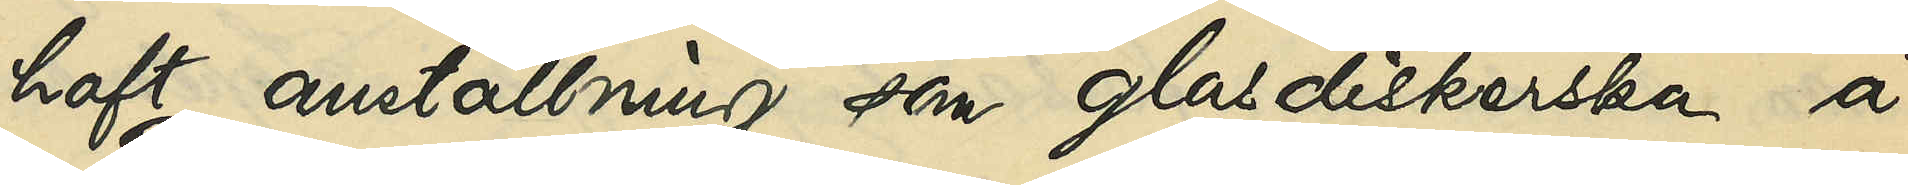haft en anställning som glasdiskerska å
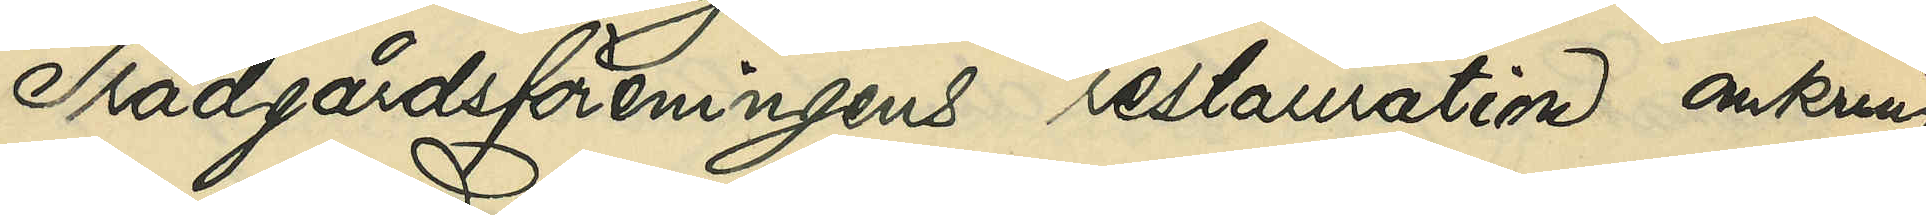Trädgårdsföreningens restauration omkring
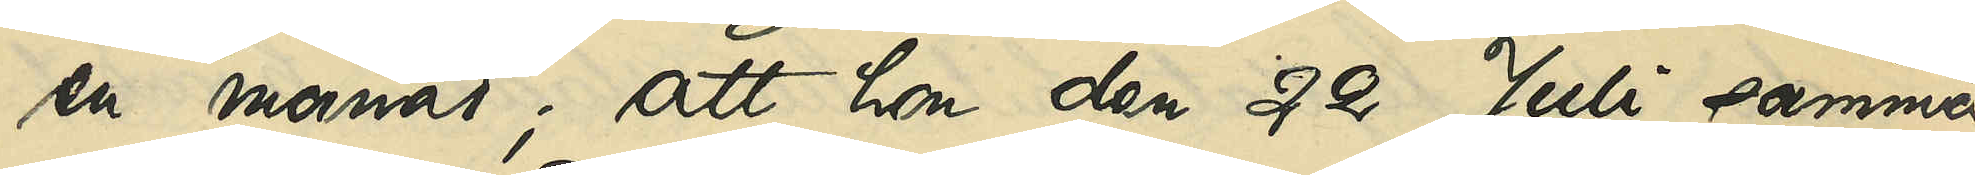en månad; att hon den 22 Juli samma
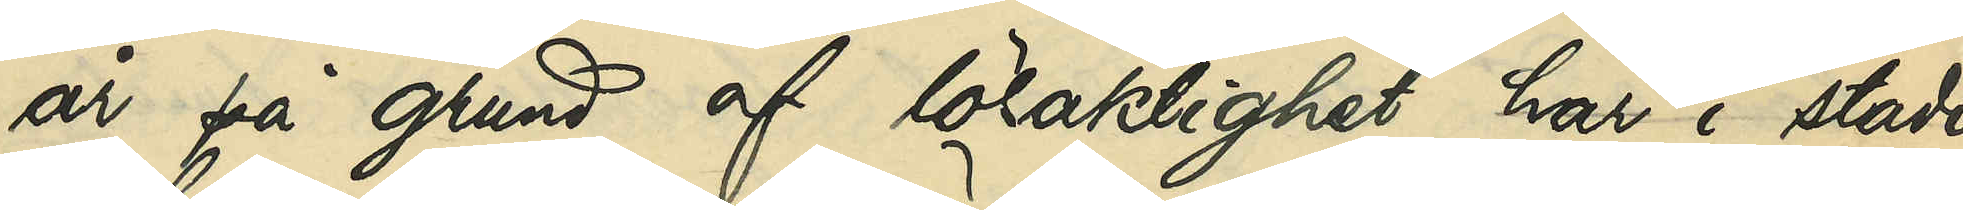år på grund af lösaktighet här i staden
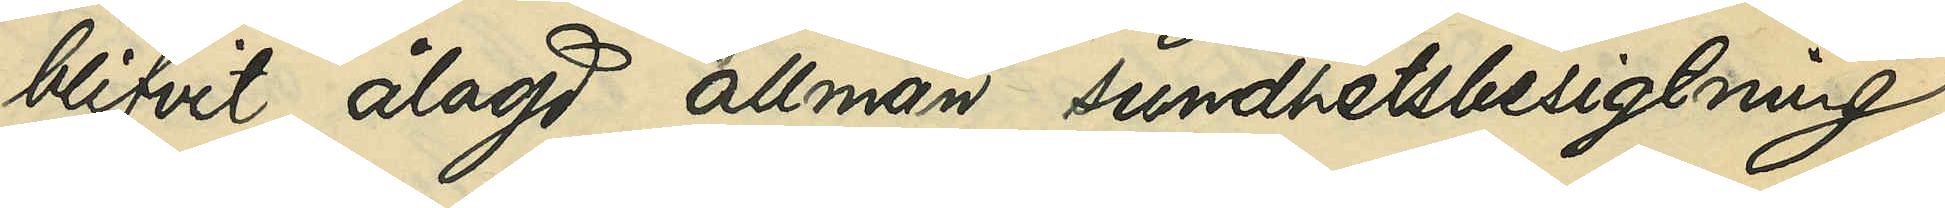blifvit ålagd allmän sundhetsbesigtning,
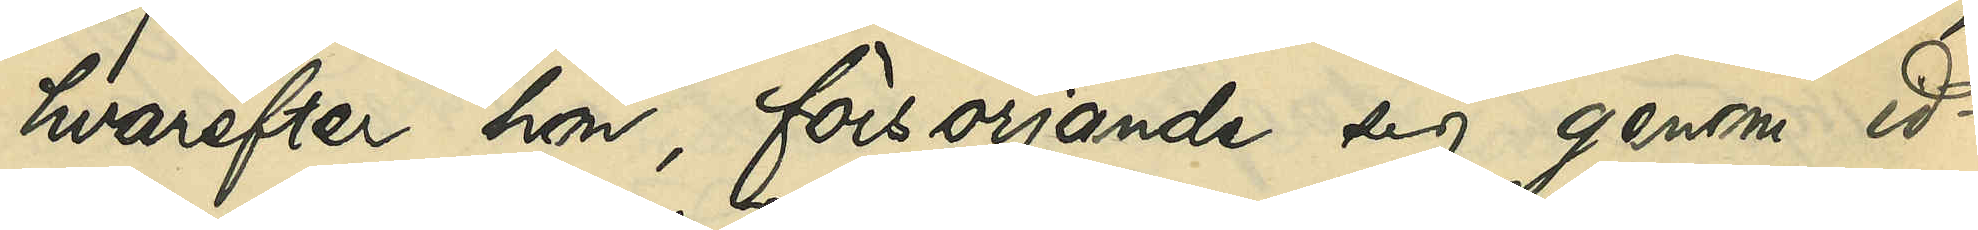hvarefter hon, försörjande sig genom id¬
